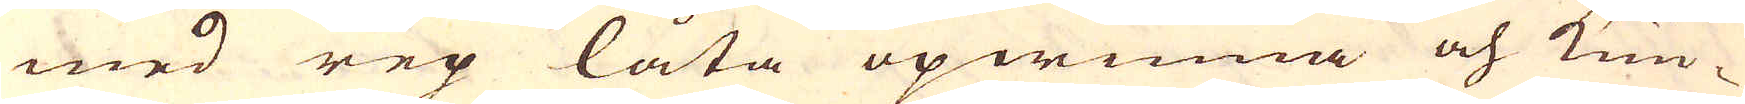med rep låta opwinna och kun-
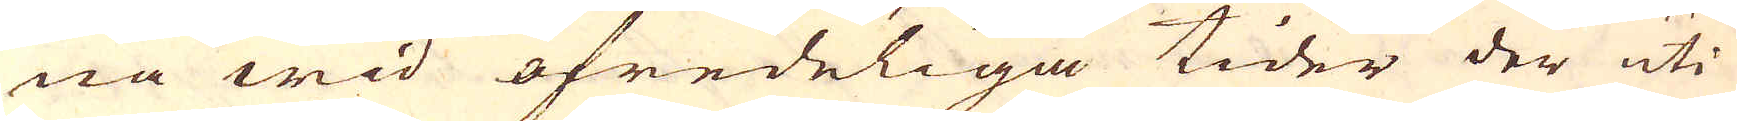na wid ofredeliga tider der uti
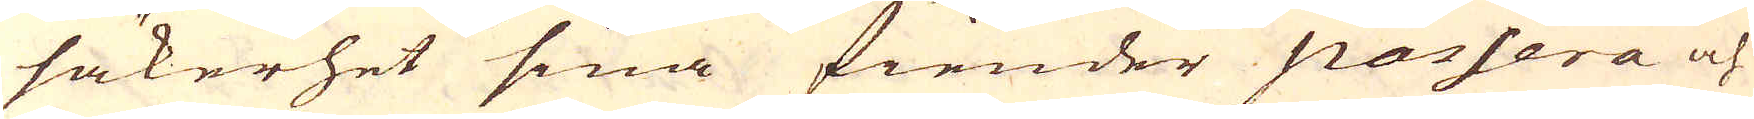säkerhet sina fiender passera och
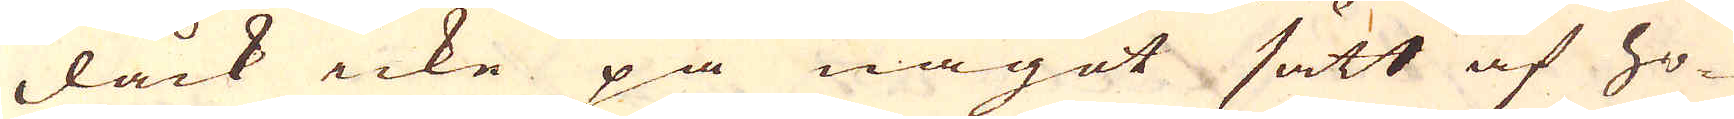dåck icke på något sätt af ho-
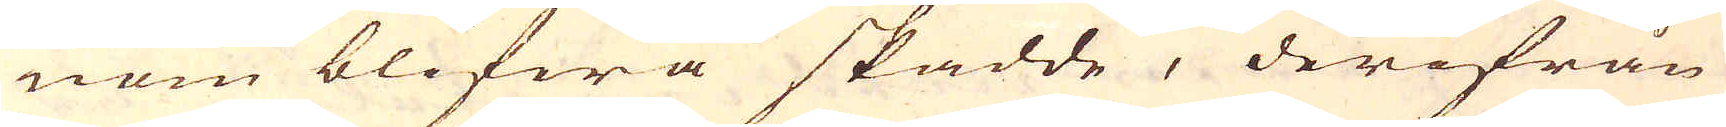nom blifwa skadde, derifrån
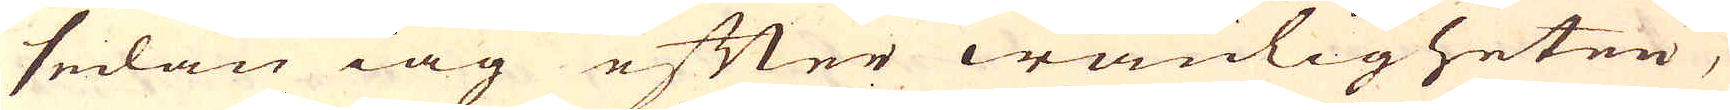sedan iag efter wanligheten,
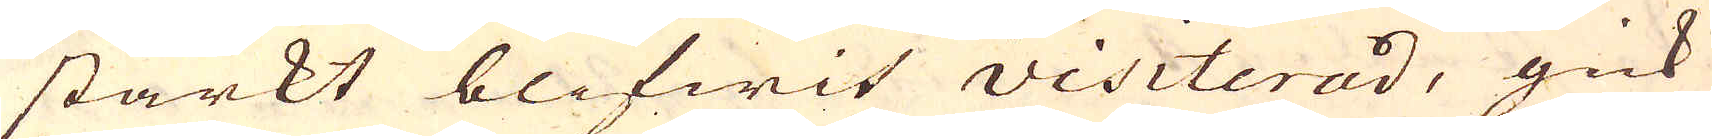starkt blifwit visiterad, gick
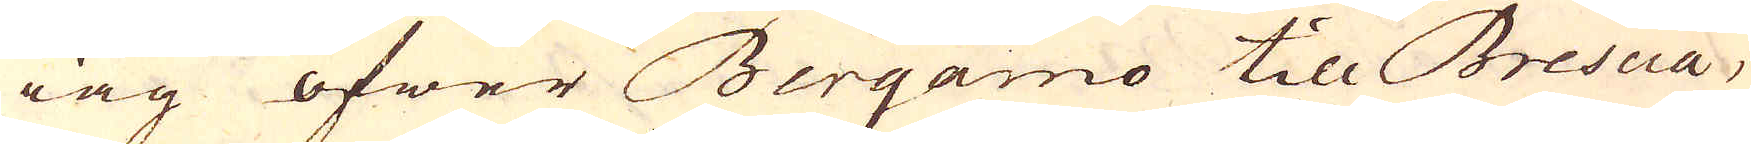iag öfwer Bergamo till Brescia,
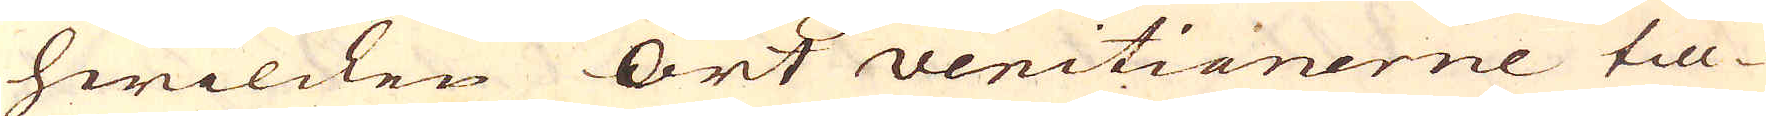hwilcken Ort venitianerne till-
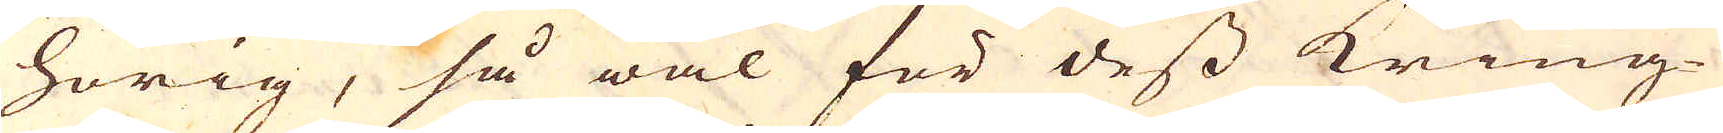hörig, så wäl för dess kring-
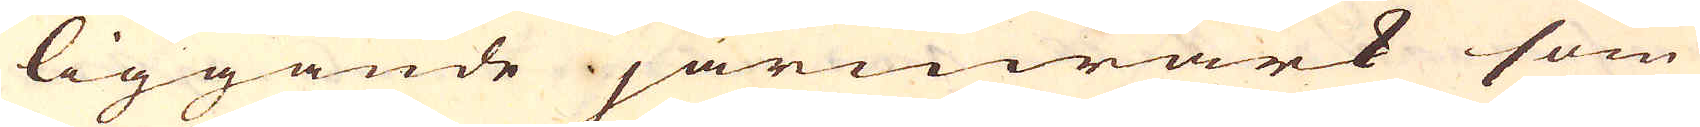liggande järnwärk som
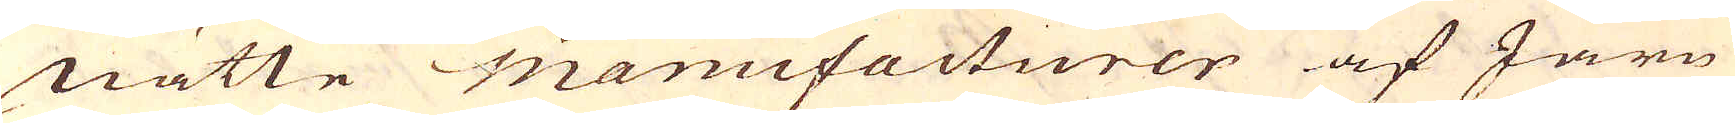nätte manufacturer af Järn
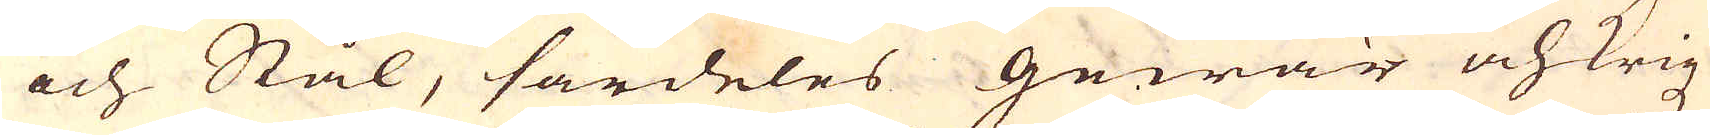och Stål, särdeles gewär och krigz
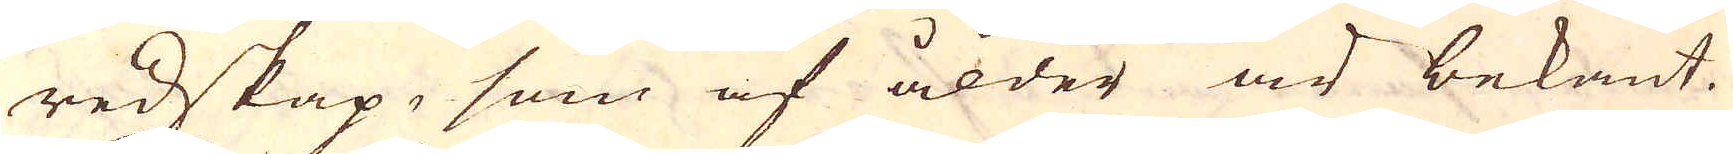redskap, som af ålder är bekant.
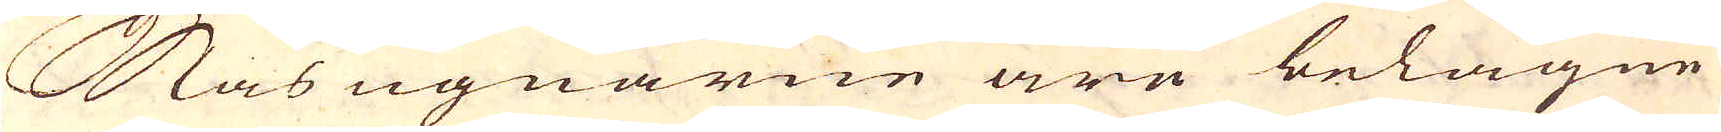Masugnarne äre belägne
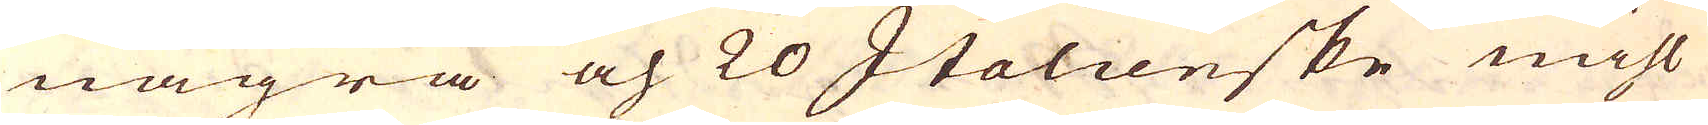några och 20 Italienske mihl
